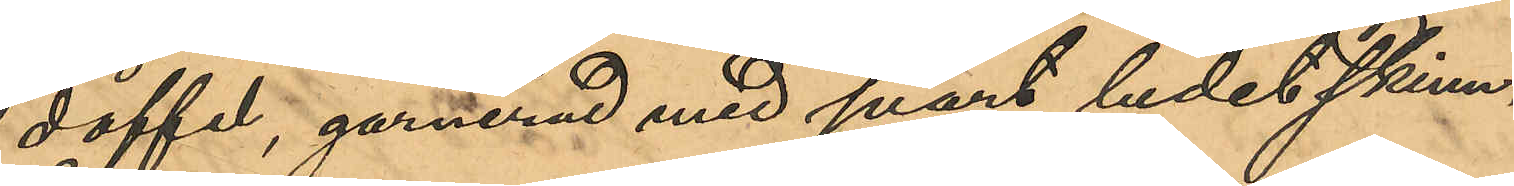doffel, garnerad med svart ludet skinn,
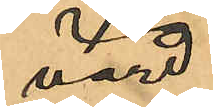värd
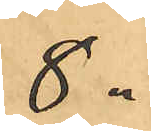8 "
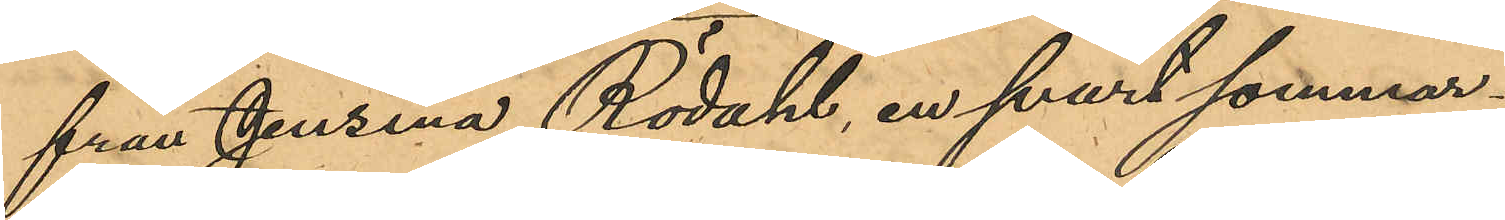från Jensina Rödahl, en svart sommar¬
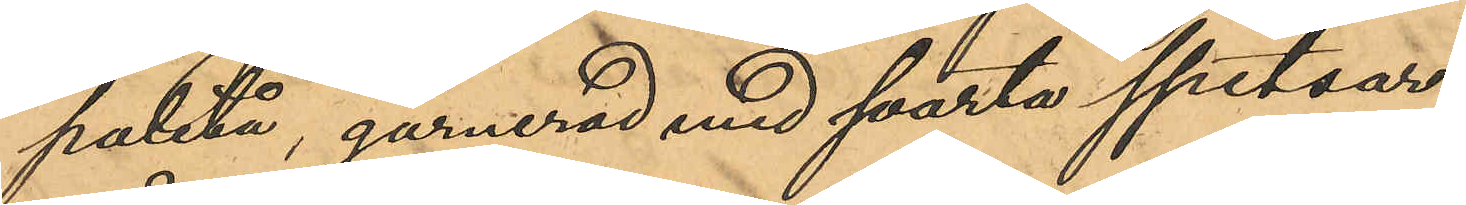paletå, garnerad med svarta spetsar,
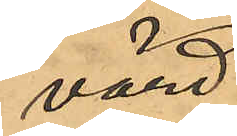värd
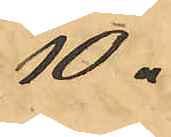10 "
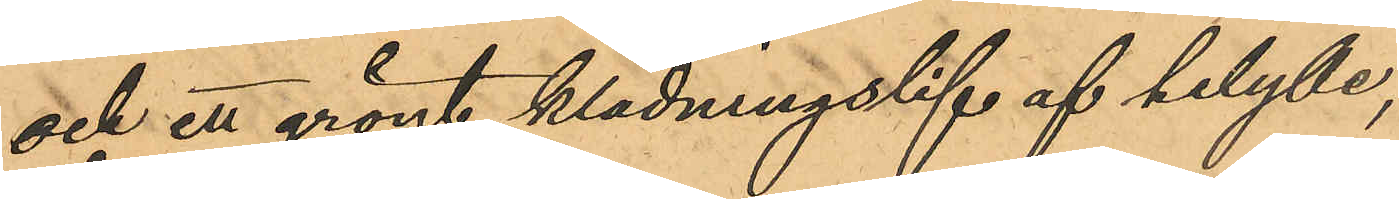och ett grönt klädningslif af helylle,
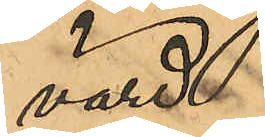värd
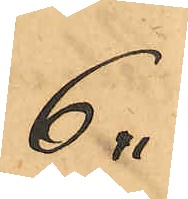6 "
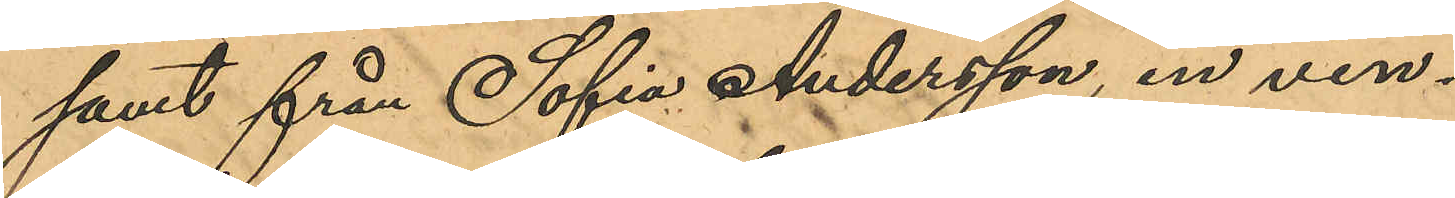samt från Sofia Andersson, en vin¬
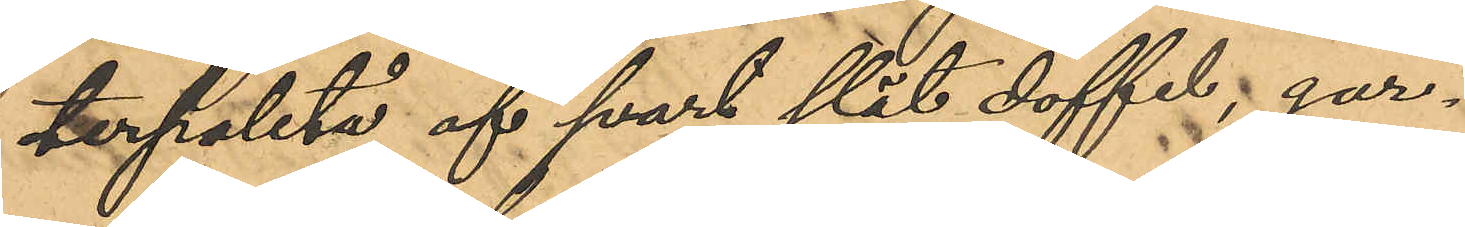terpaletå af svart slät doffel, gar¬
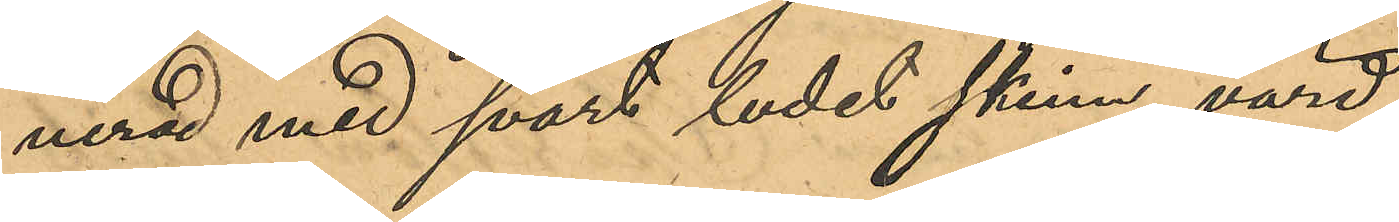nerad med svart ludet skinn, värd
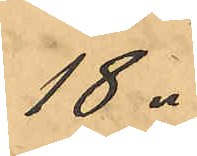18 "
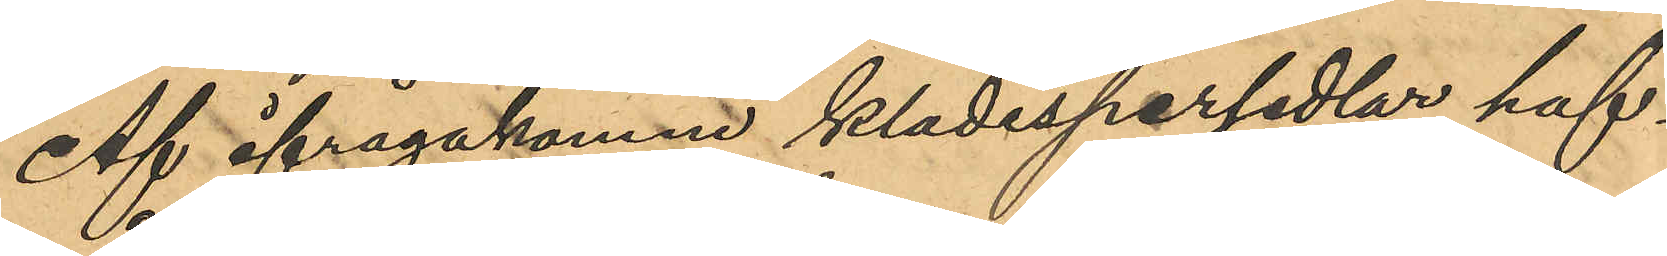Af ifrågakomne klädespersedlar haf¬
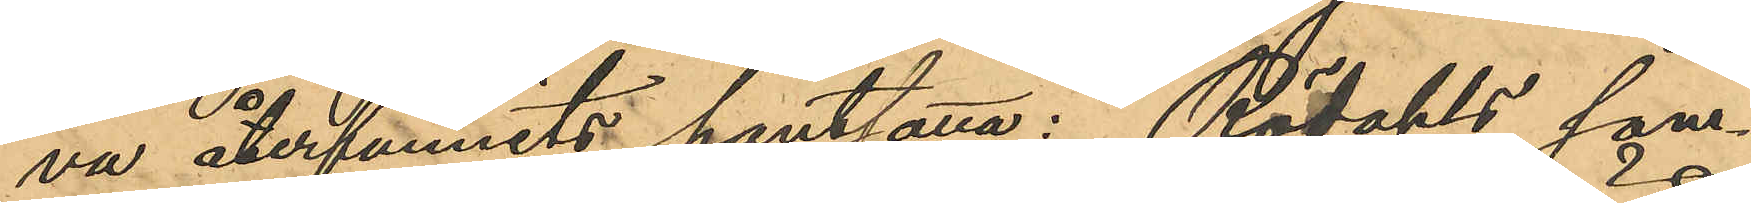va återfunnits pantsatta: Rödahls som¬
